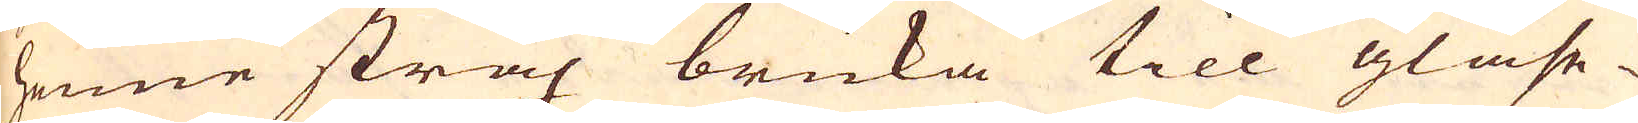henne strax bruka till glase-
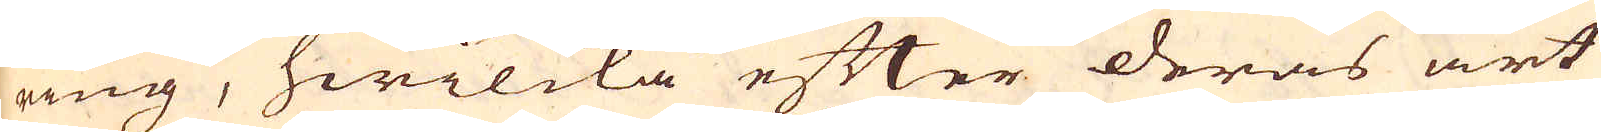ring, hwilcka efter deras art
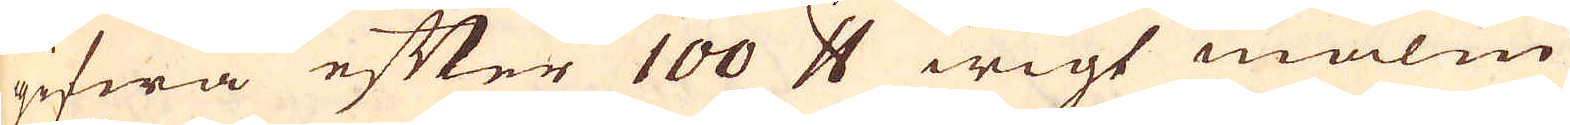gifwa efter 100 skålpund wigt malm
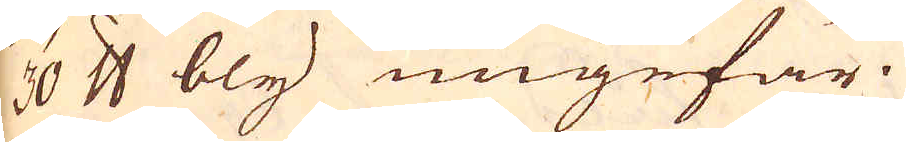30 skålpund bly ungefär.
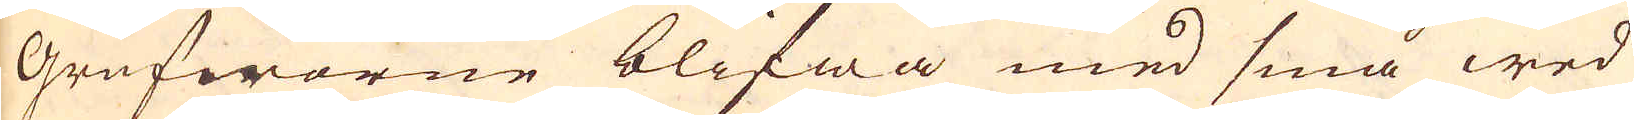Grufworne blifwa med små wed
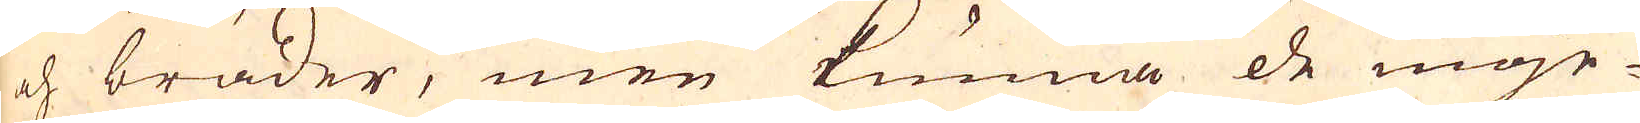och bräder, men kunna de möje-
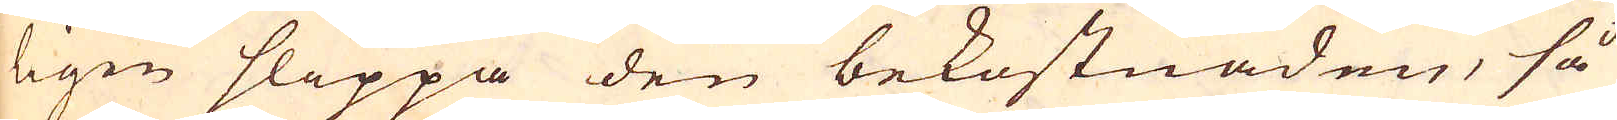ligen slippa den bekostnaden, så
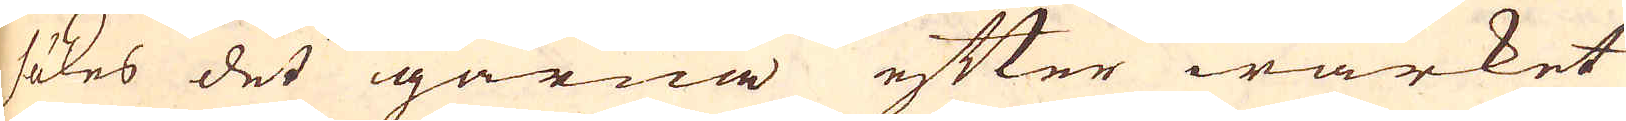sökes det gärna efter wärket
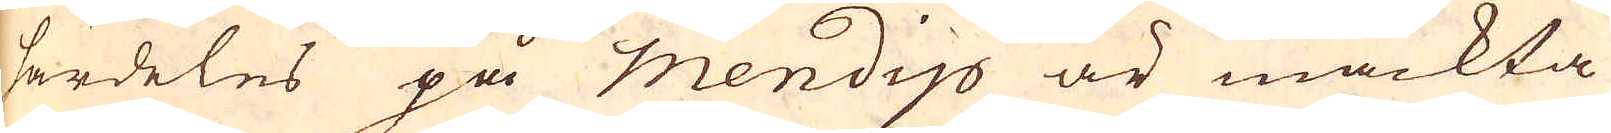särdeles på mendijo är mäckta
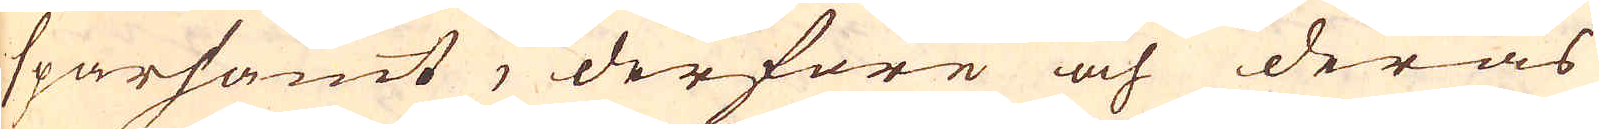sparsamt, derföre och deras
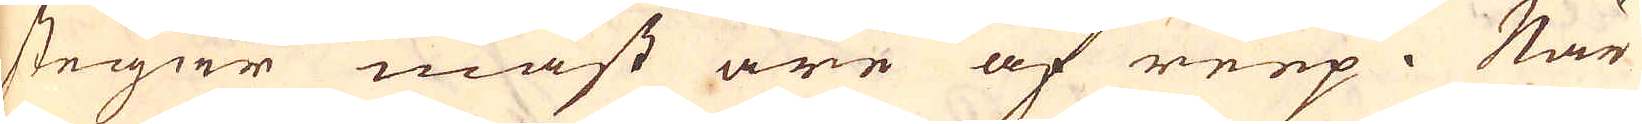stegar mäst äre af reep. När
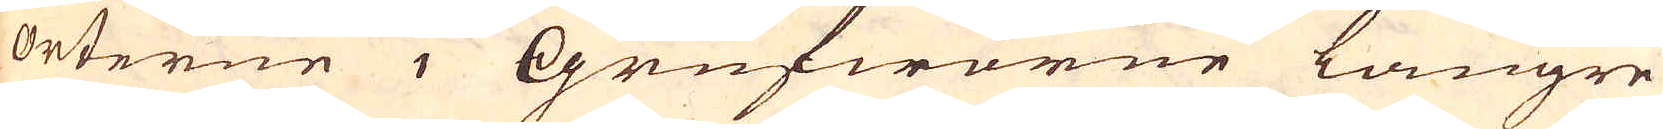orterne i Grufworne längre
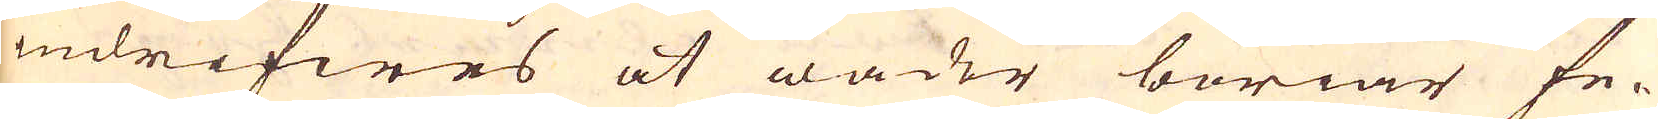indrifwes at wäder böriar fe-
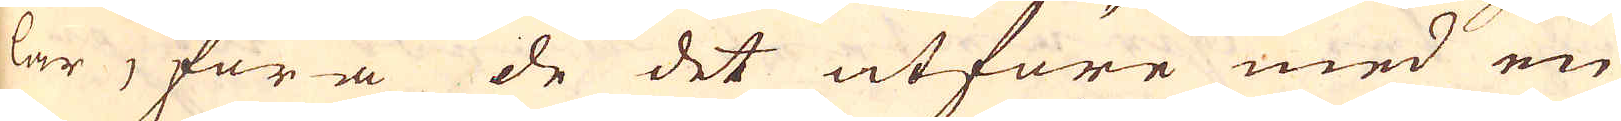lar, föra de det utföre med en
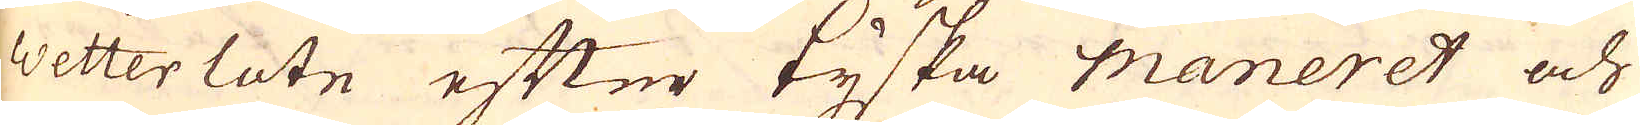wetter lote efter tyska Maneret och
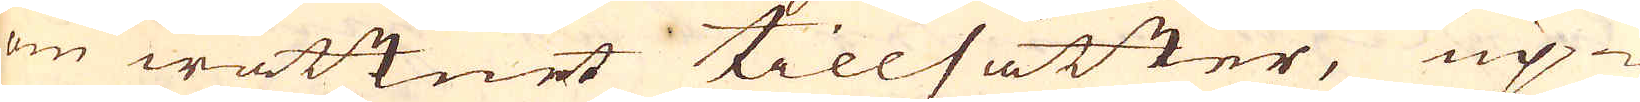om wattnet tillsätter, up-
